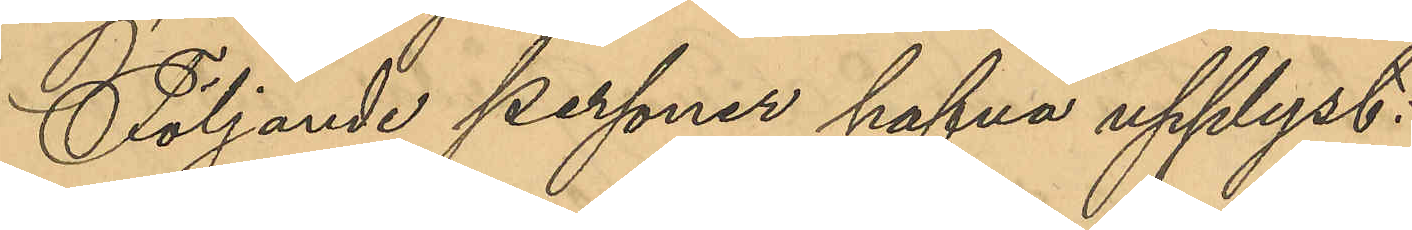Följande personer hafva upplyst:
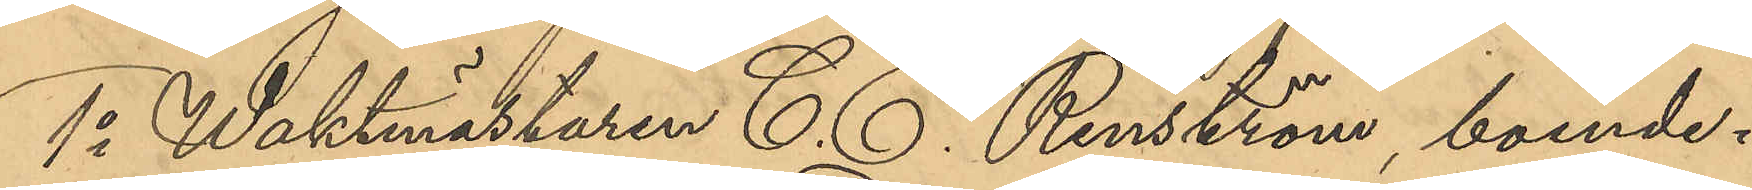1o Waktmästaren C. E. Renström, boende i
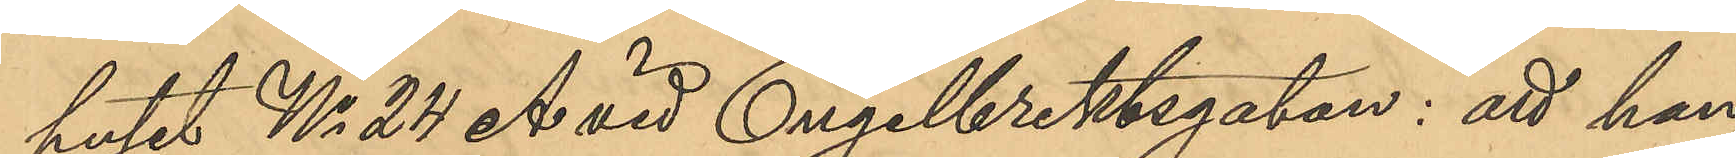huset No 24 A vid Engelbrektsgatan: att han
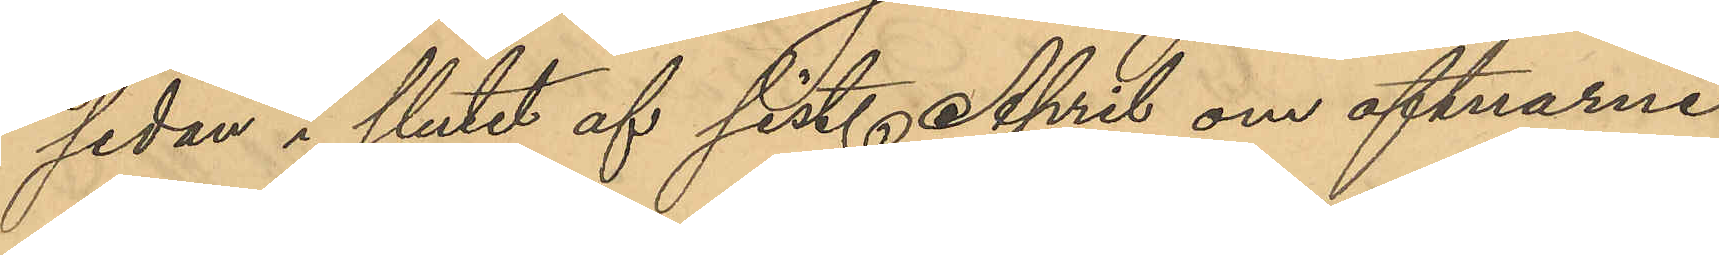sedan i slutet af sist. April om aftnarne
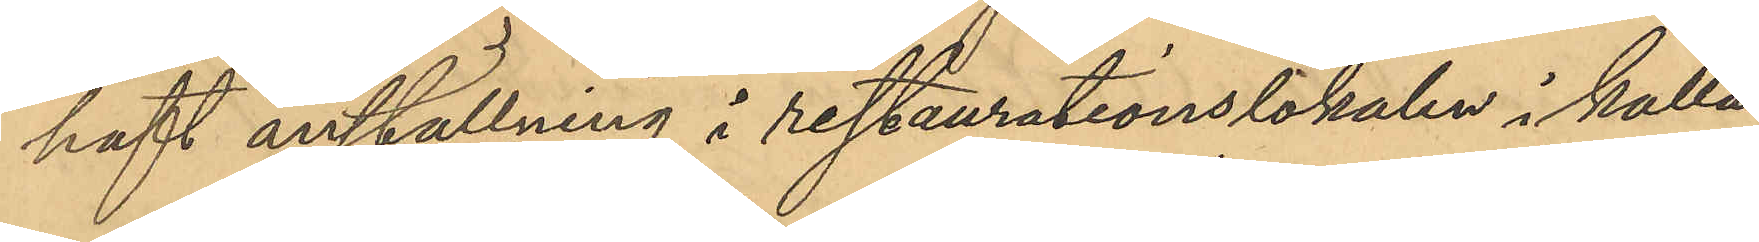haft anställning i restaurationslokalen i källa¬
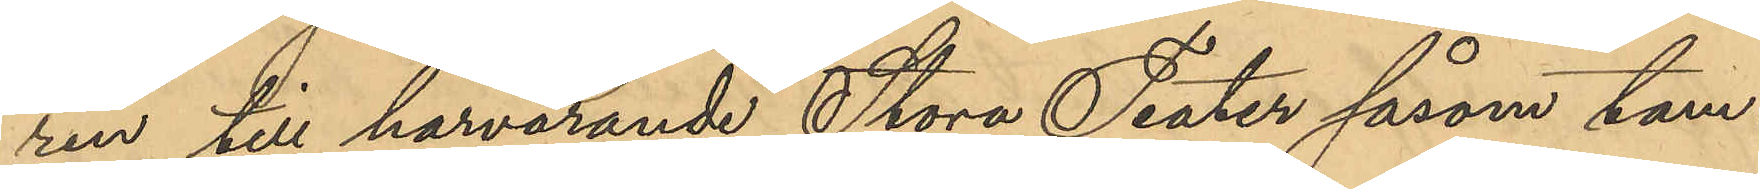ren till härvarande Stora Teater såsom tam¬
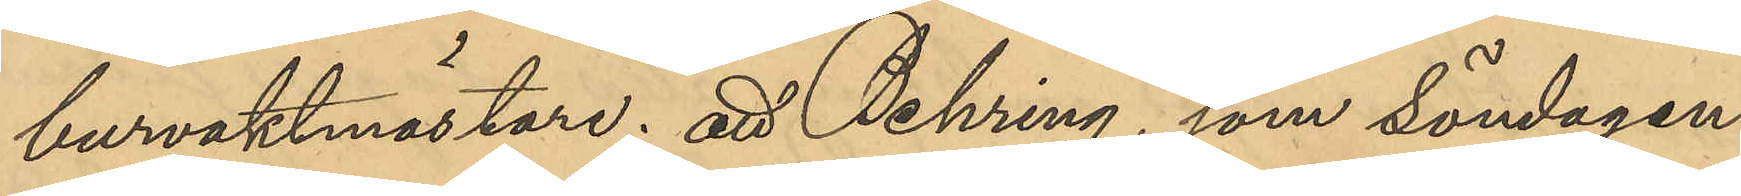burvaktmästare; att Behring, som söndagen
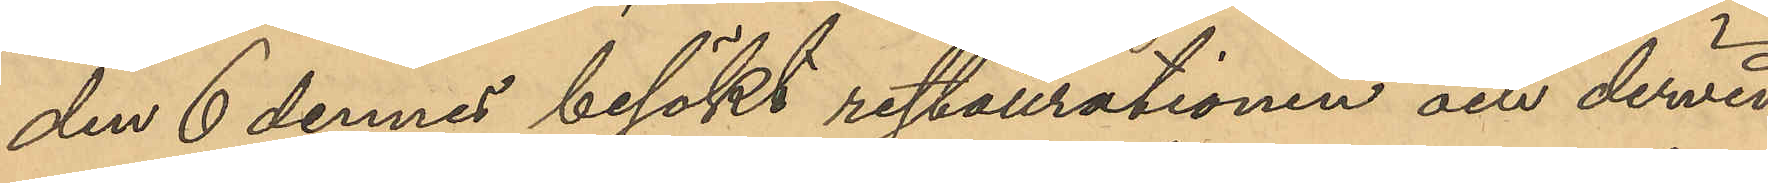den 6 dennes besökt restaurationen och dervid
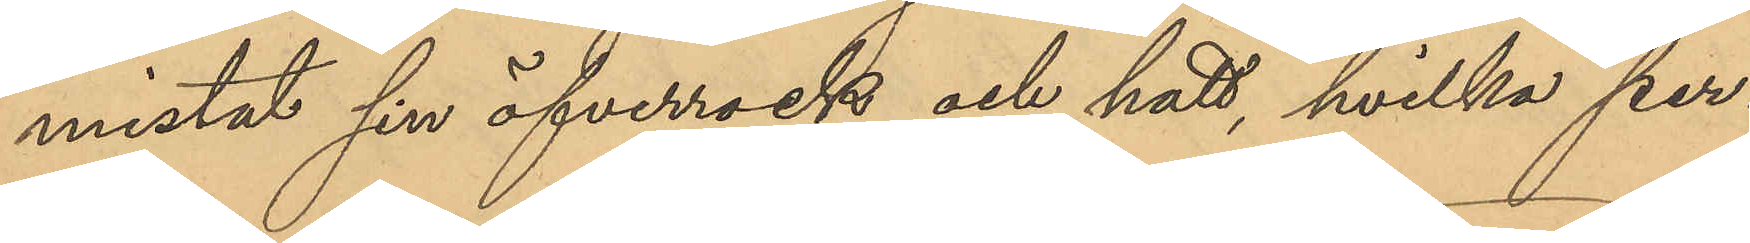mistat sin öfverrock och hatt, hvilka per¬
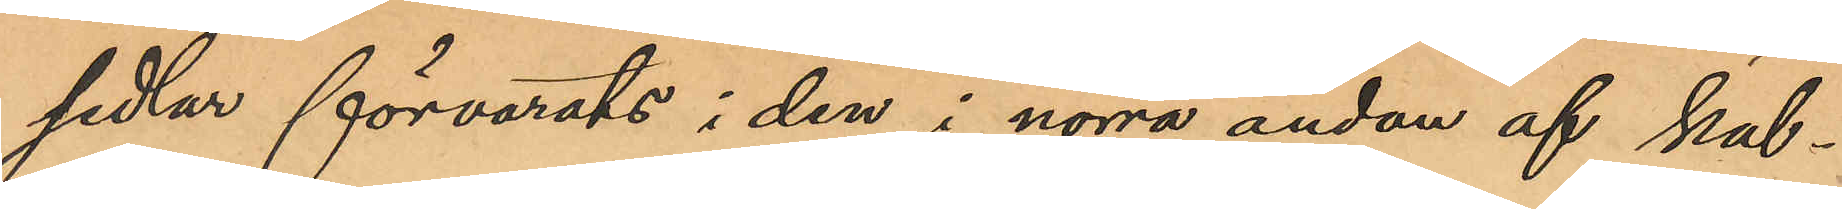sedlar förvarats i den i norra änden af käl¬
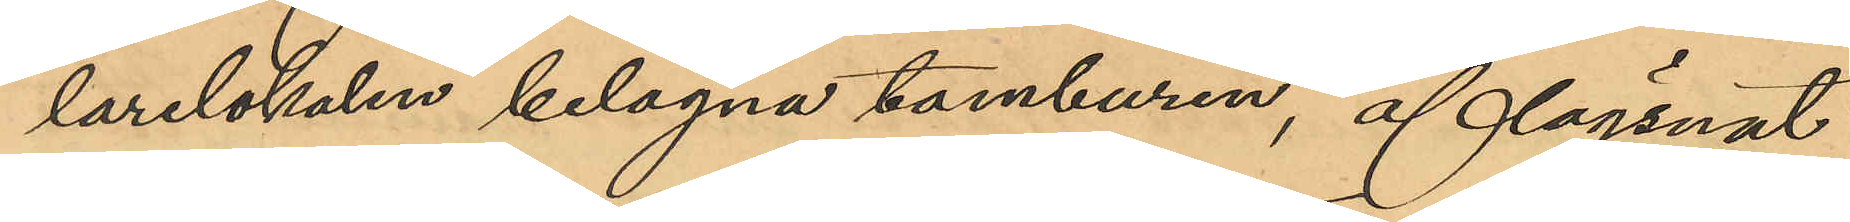larelokalen belägna tamburen, aflägsnat
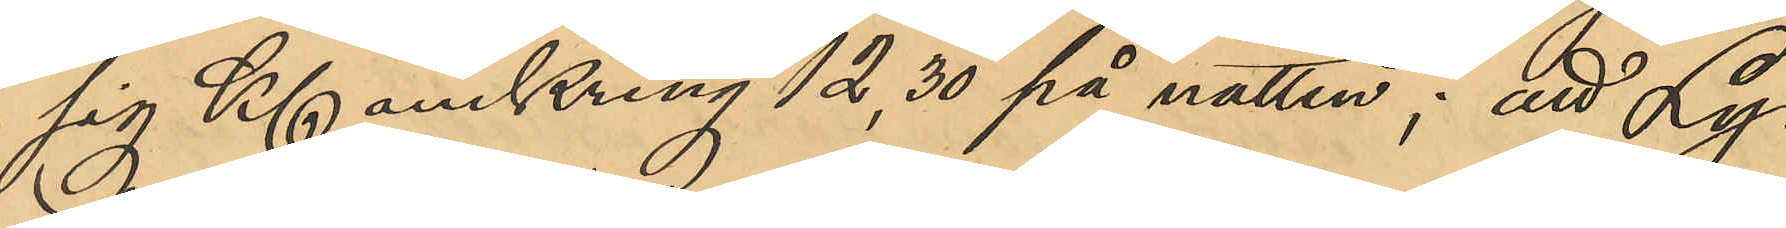sig Kl omkring 12,30 på natten; att Ly¬
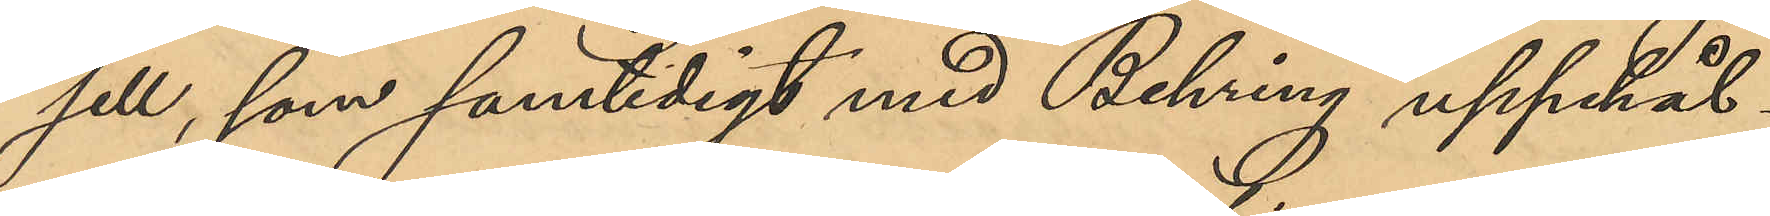sell, som samtidigt med Behring uppehål¬
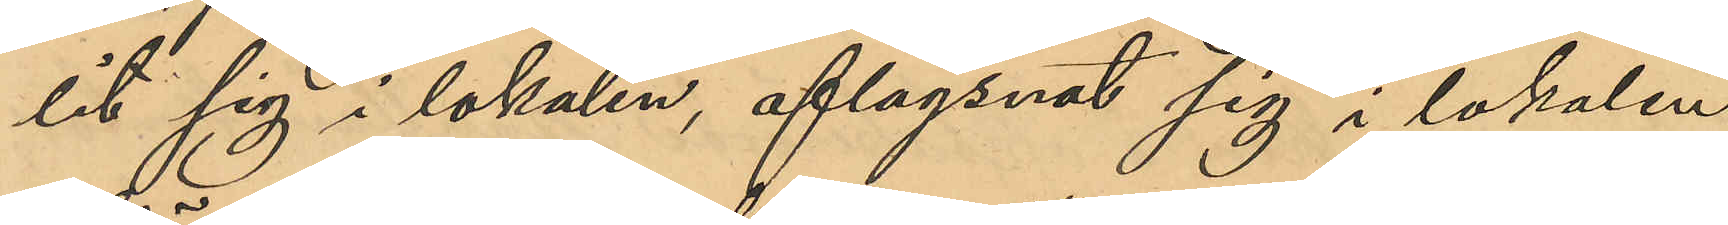lit sig i lokalen, aflägsnat sig i lokalen
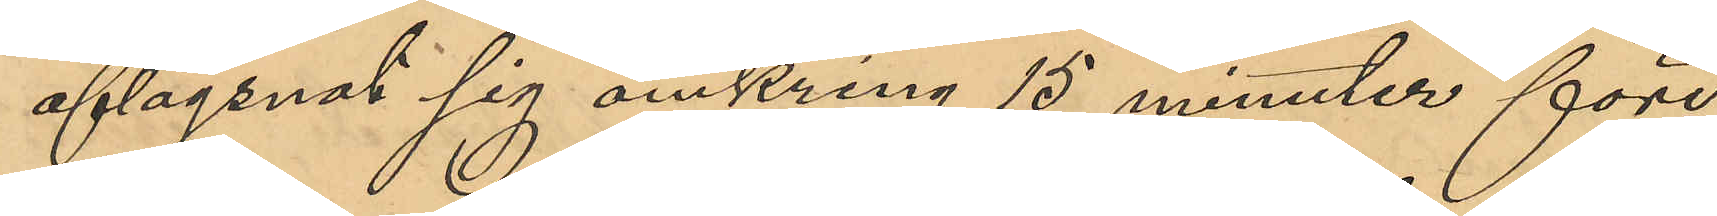aflägsnat sig omkring 15 minuter före
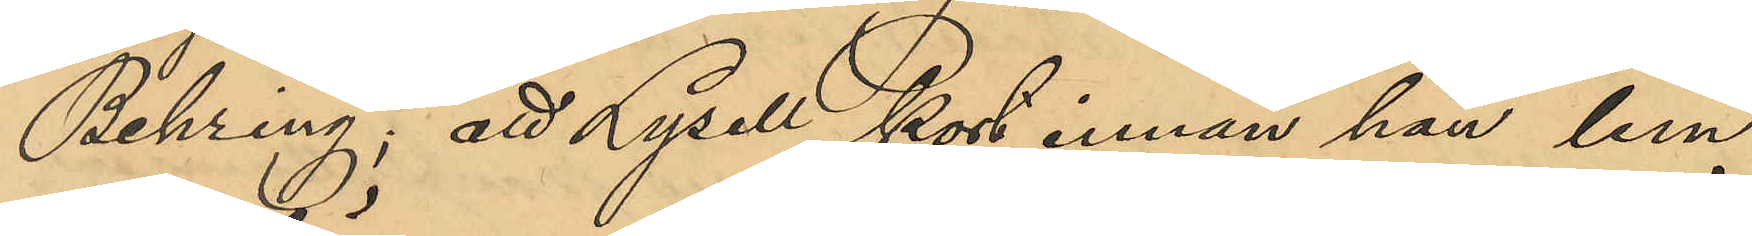Behring; att Lysell kort innan han lem¬
